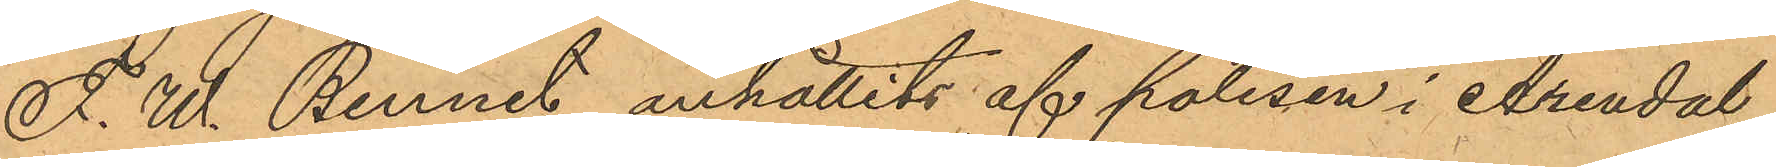F. W. Bennet anhållits af polisen i Arendal
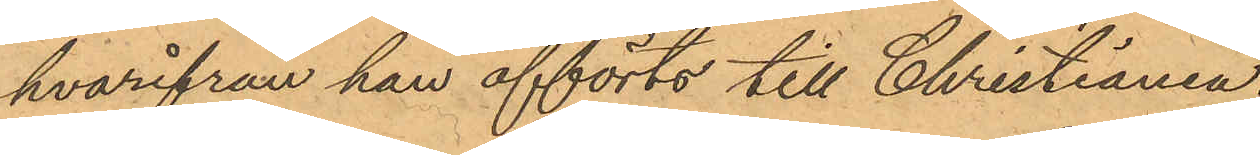hvarifrån han afförts till Christiania,
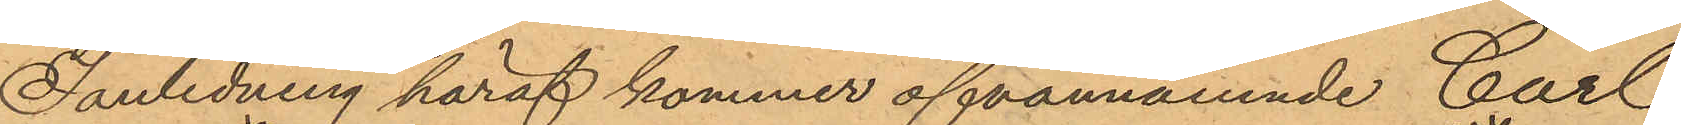I anledning häraf kommer ofvannämnde Carl
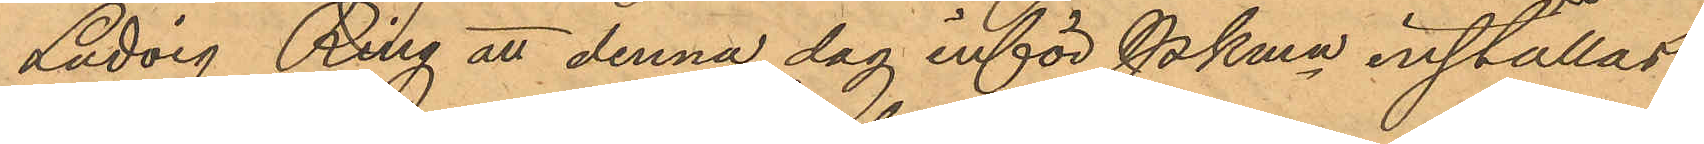Ludvig Ring att denna dag inför Pkmn inställas.
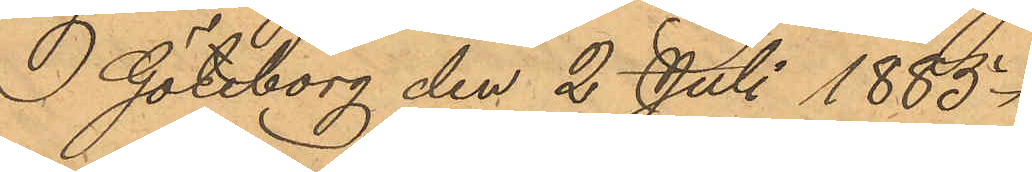I Göteborg den 2 Juli 1883.
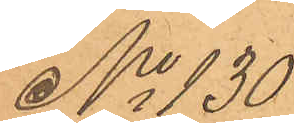No 130
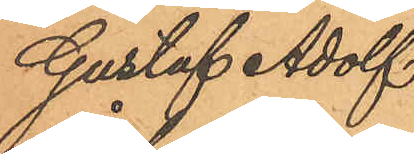Gustaf Adolf
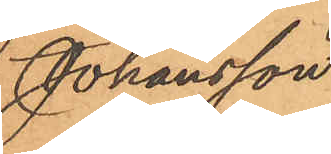Johansson
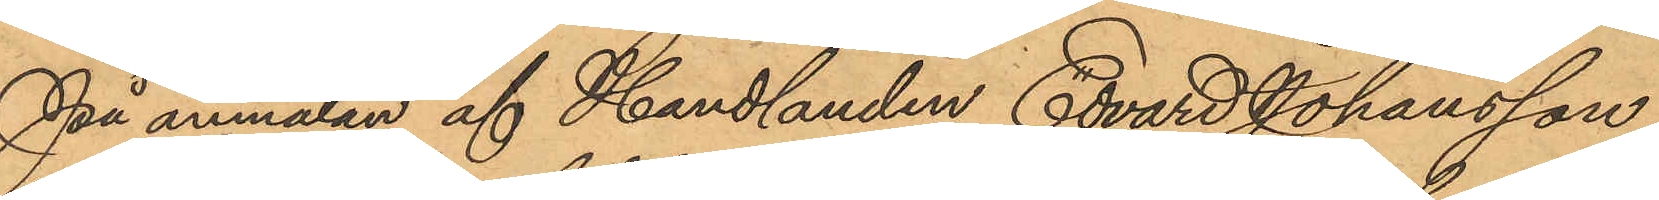På anmälan af Handlanden Edvard Johansson,
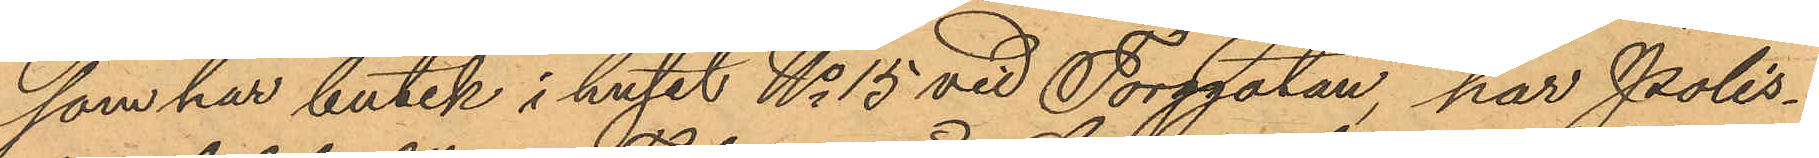som har butik i huset No 15 vid Torggatan, har Polis¬
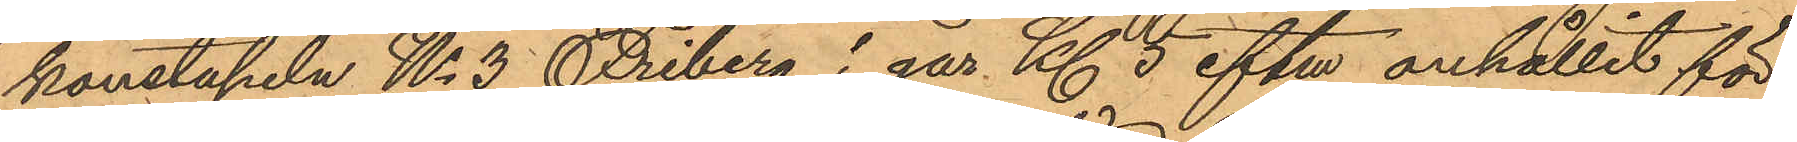konstapeln No 3 Friberg i går Kl 5 eftm anhållit för
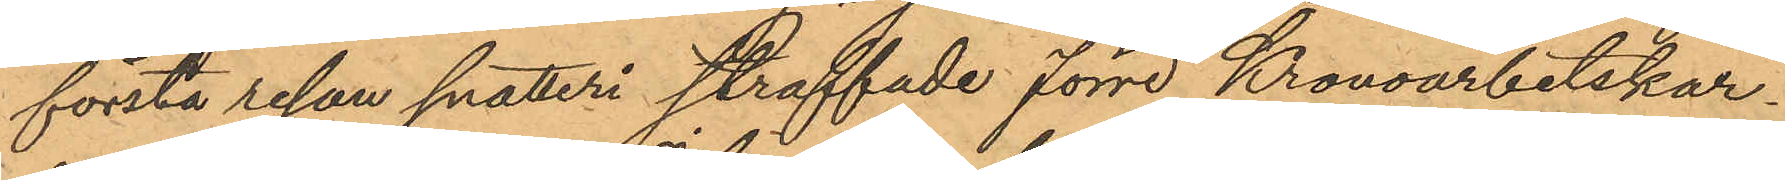första resan snatteri straffade förre Kronoarbetskar¬
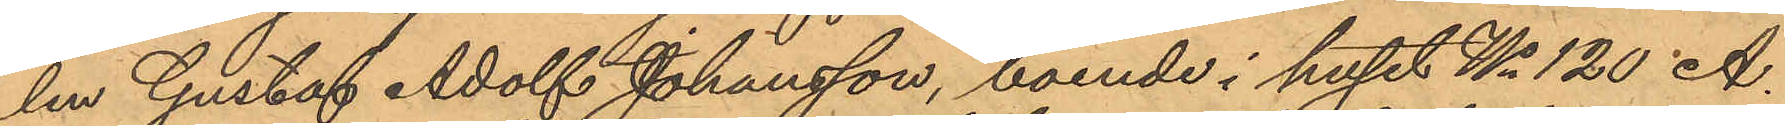len Gustaf Adolf Johansson, boende i huset No 120 A.
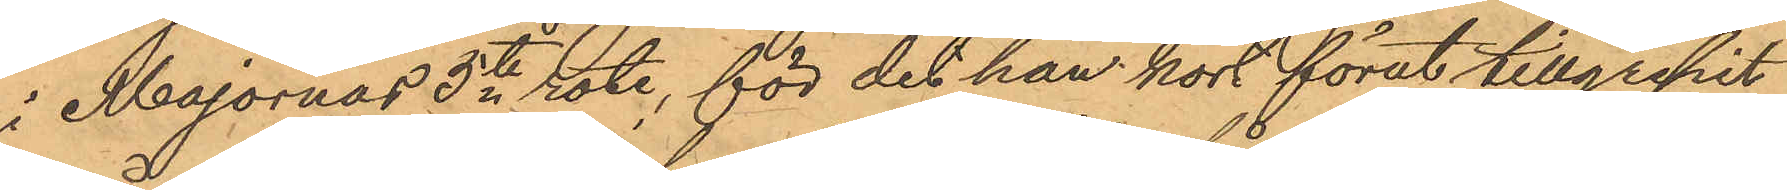i Majornas 5te rote, för det han kort förut tillgripit
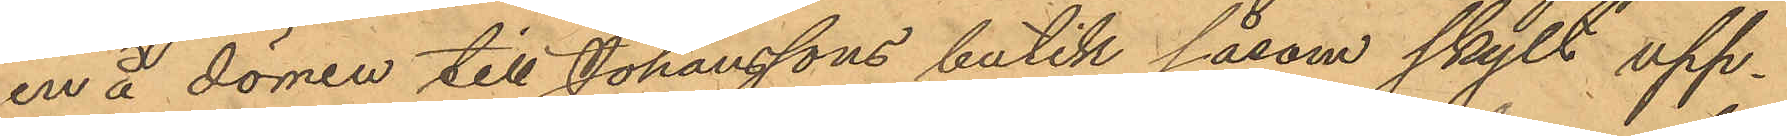en å dörren till Johanssons butik såsom skylt upp¬
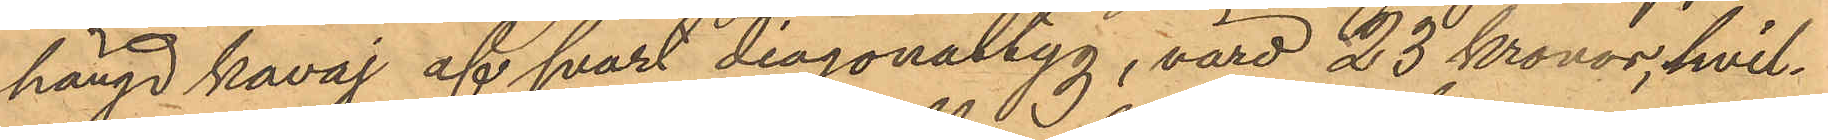hängd kavaj af svart diagonaltyg, värd 23 Kronor, hvil¬
